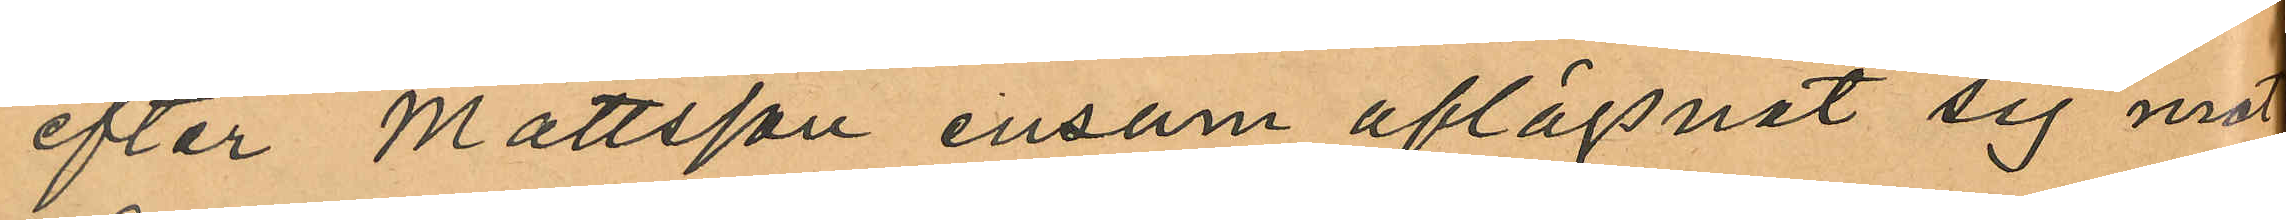efter Mattsson ensam aflägsnat sig mot
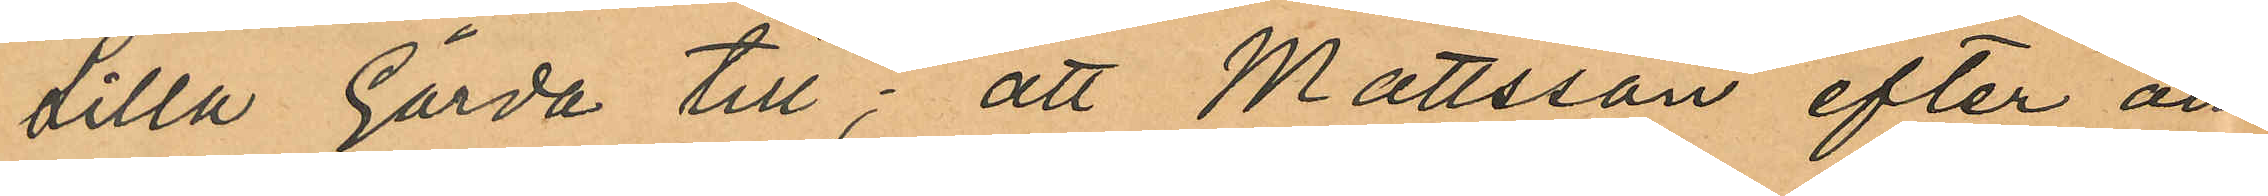Lilla Gårda till; att Mattsson efter om
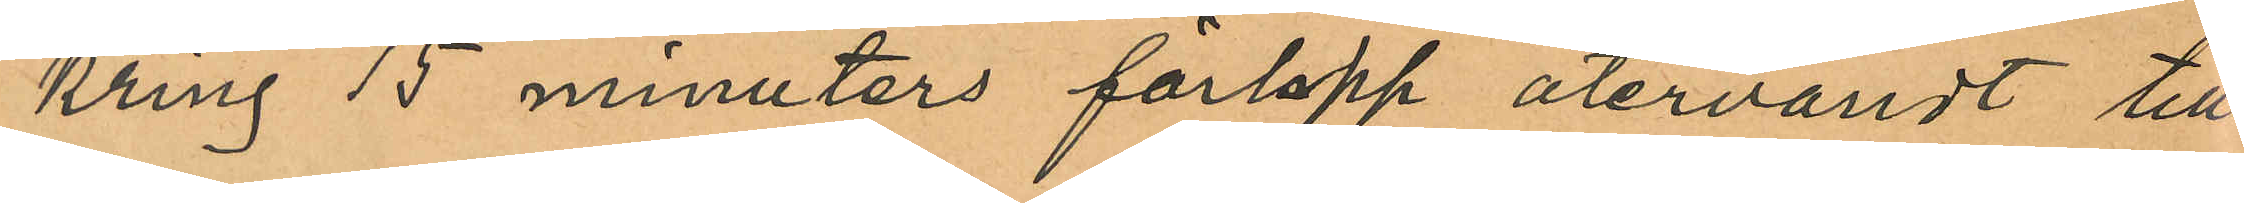kring 15 minuters förlopp återvändt till
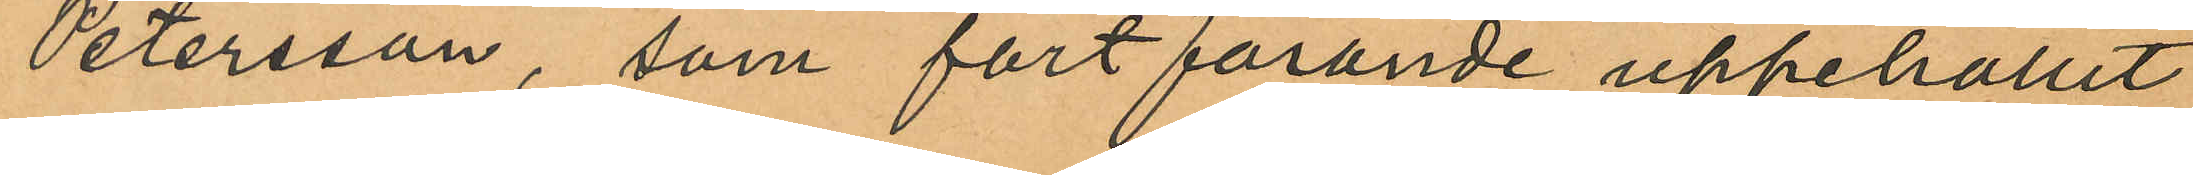Petersson, som fortfarande uppehållit
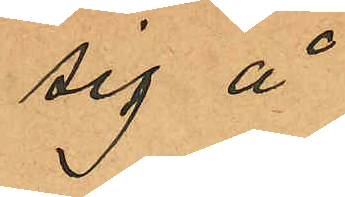sig å
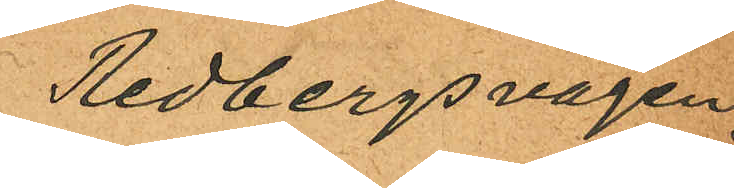Redbergsvägen
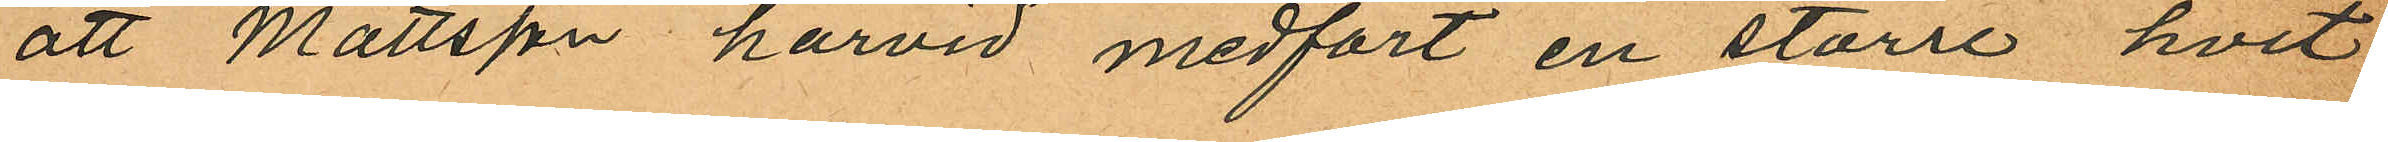att Mattsson härvid medfört en större hvit
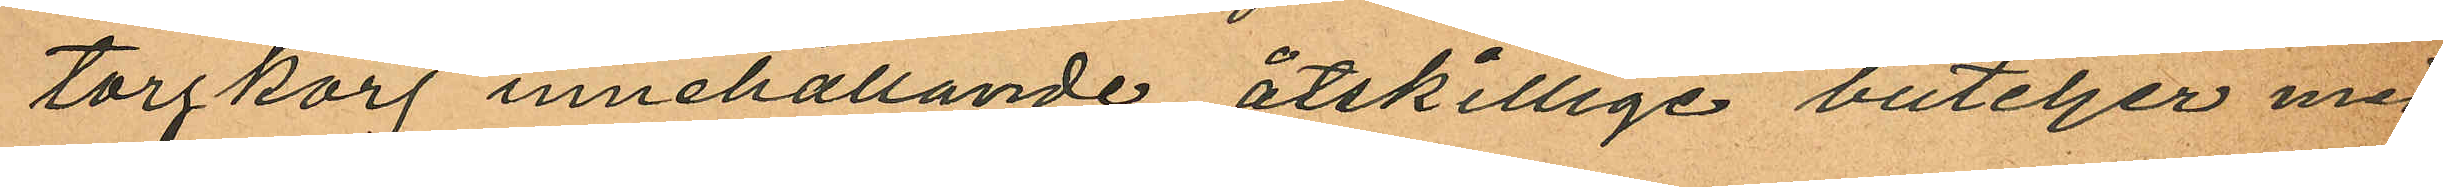torgkorg innehållande åtskillige buteljer med
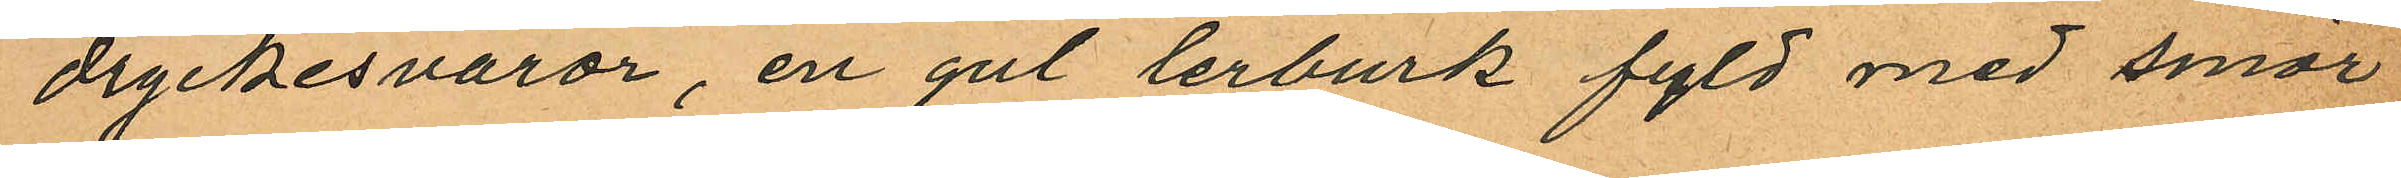dryckesvaror, en gul lerburk fyld med smör
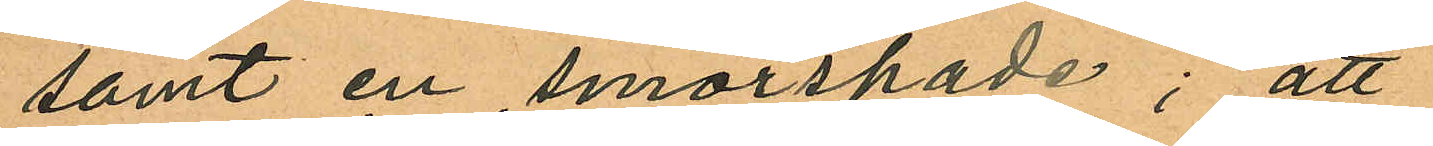samt en smörspade; att
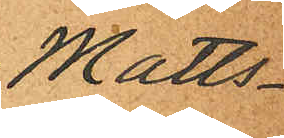Matts¬
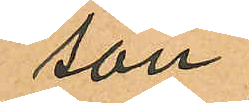son
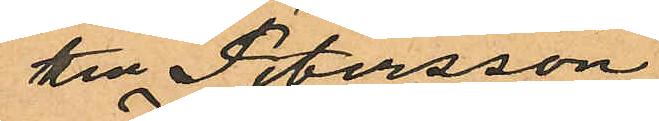till Petersson
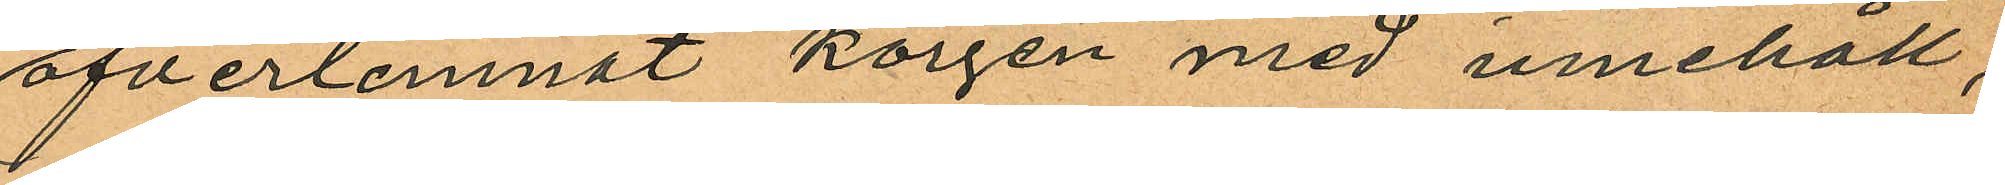öfverlemnat korgen med innehåll,
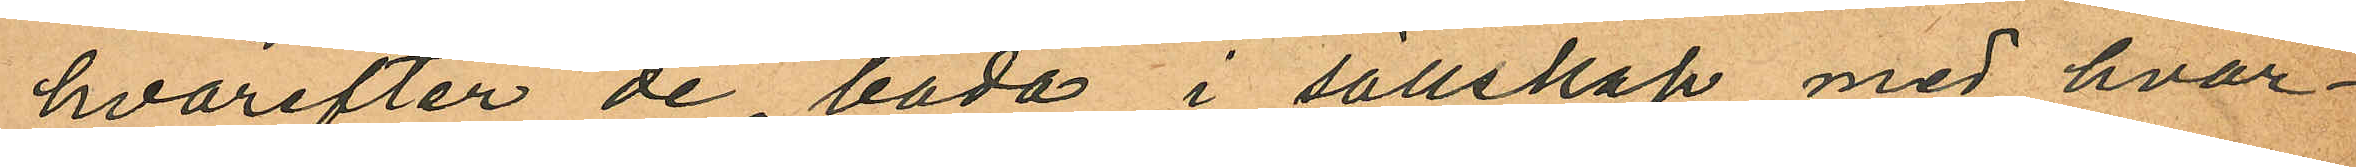hvarefter de båda i sällskap med hvar¬
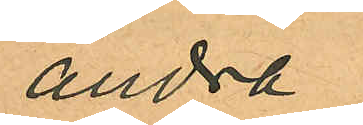andra
